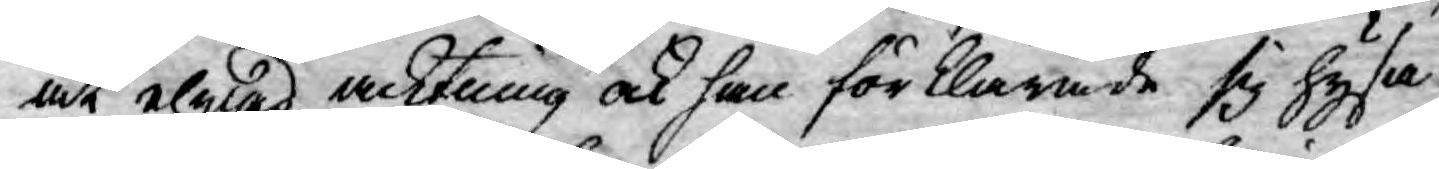at ehwad acktning ock han förklarade sig hysa
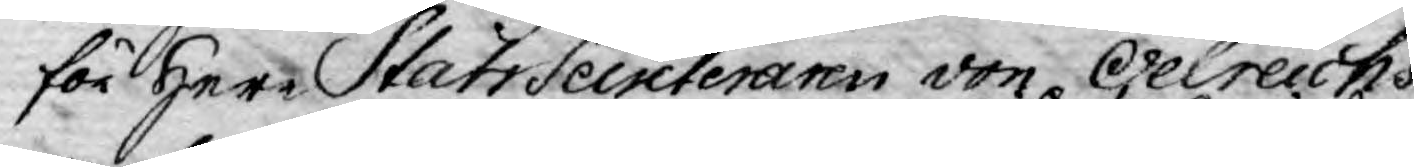för Herr StatsSecreteraren von Oelreichs
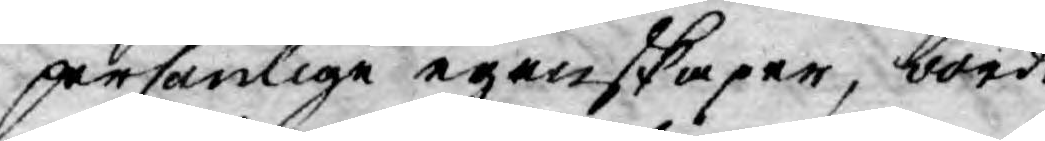personlige egenskaper, borde
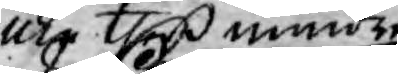icke theß mindre
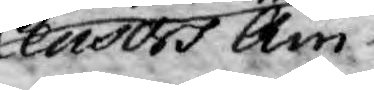Censors Äm¬
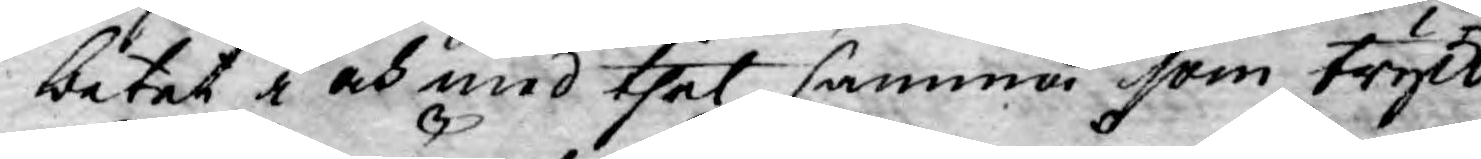betet i och med thet samma som tryck¬
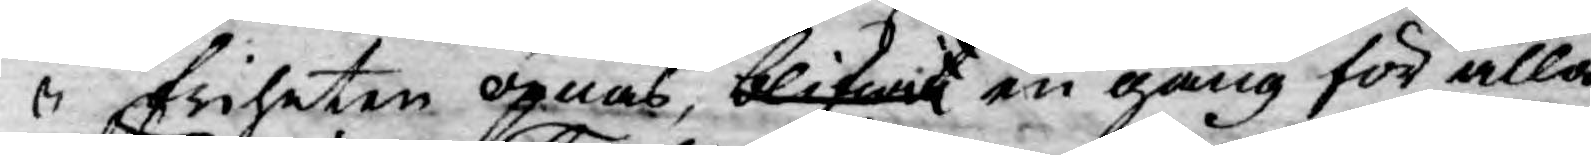friheten öpnas, blifwit en gång för alla
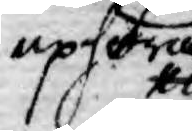uphöra.
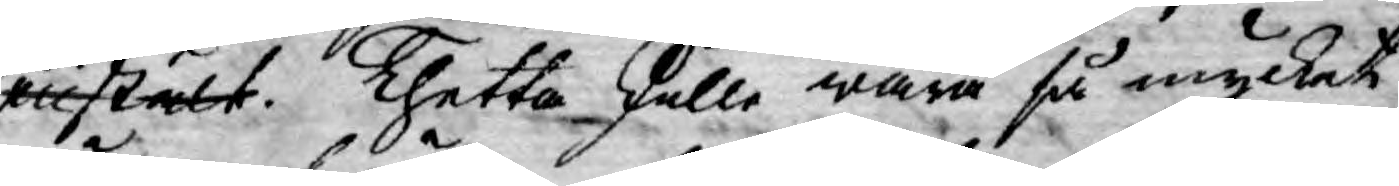enstält. Thetta skulle wara så mycket
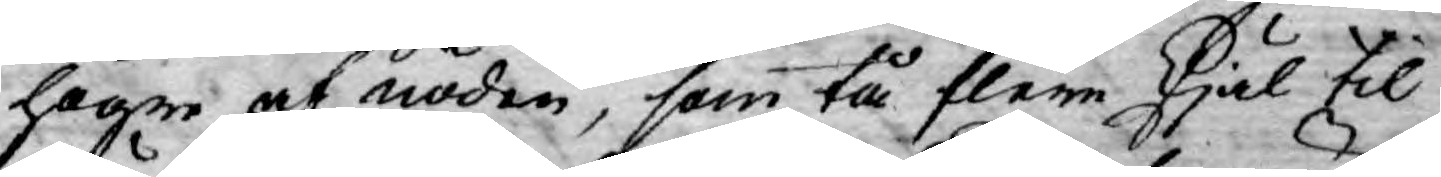högre af nöden, som tå flere skjäl til¬
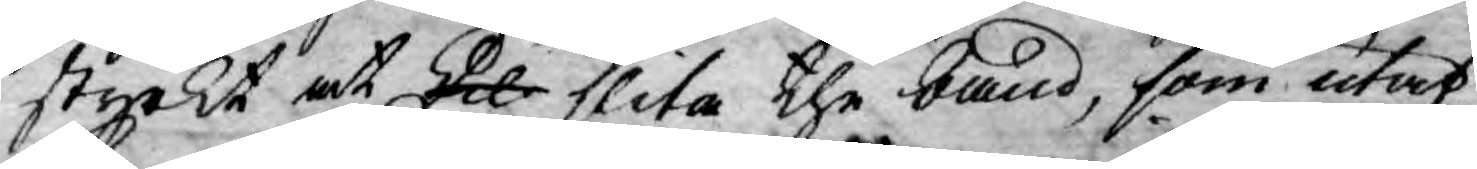styrkt at skul slita the band, som utaf
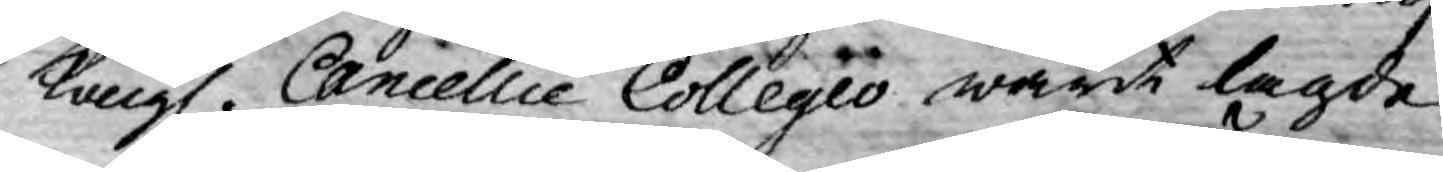Kongl. Cancellie Collegio warit lagde
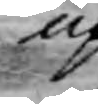up¬
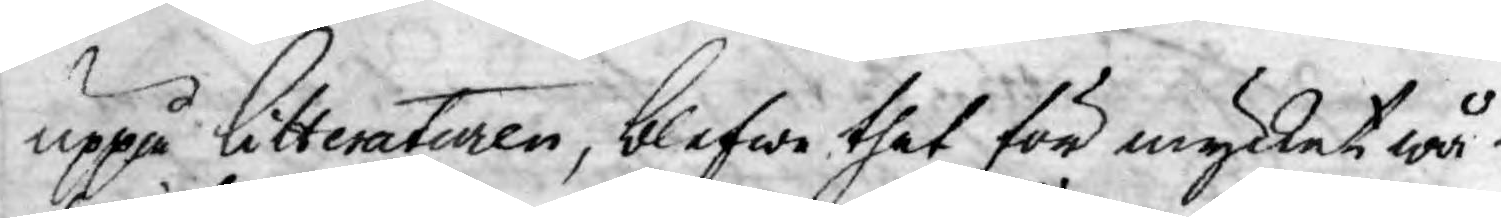uppå litteraturen, blefwe thet för mycket wå¬
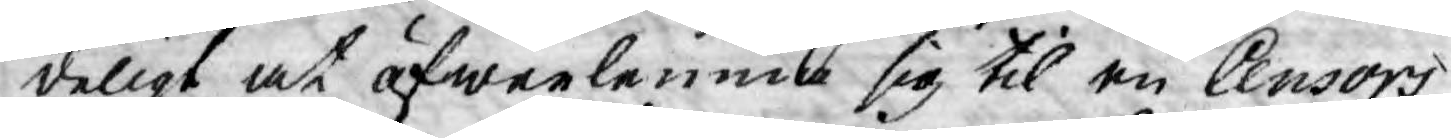deligt at öfwerlemne sig til en Censors
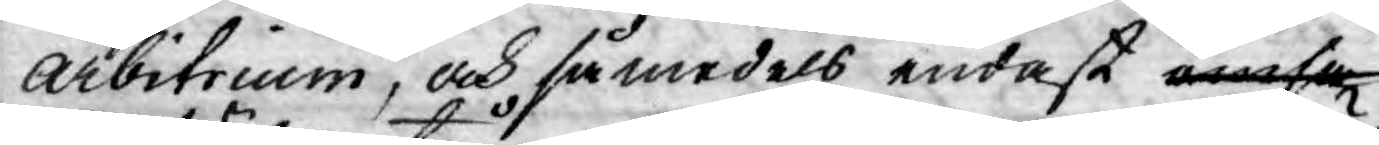Arbitrium, och så medels endast ömsa
